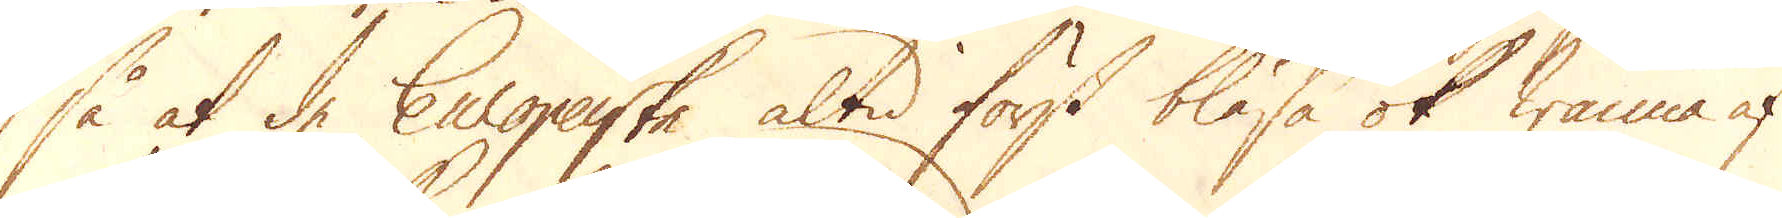så at de Europaske altid först blåsa ok wanna af
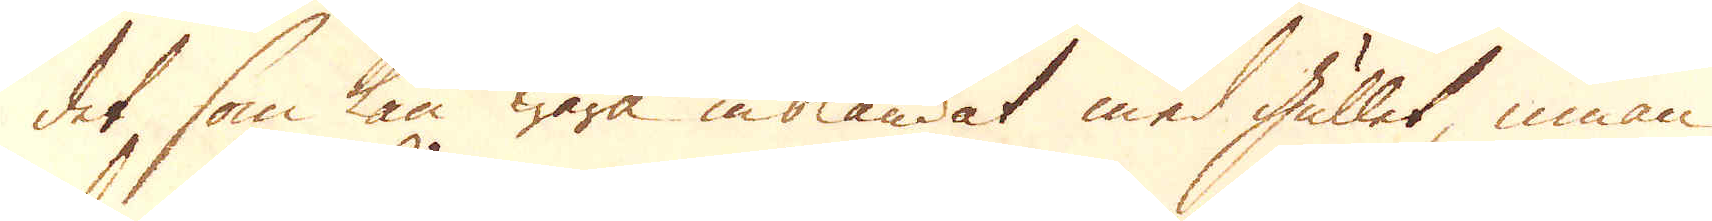det som kan wara inblandat med gullet, innan
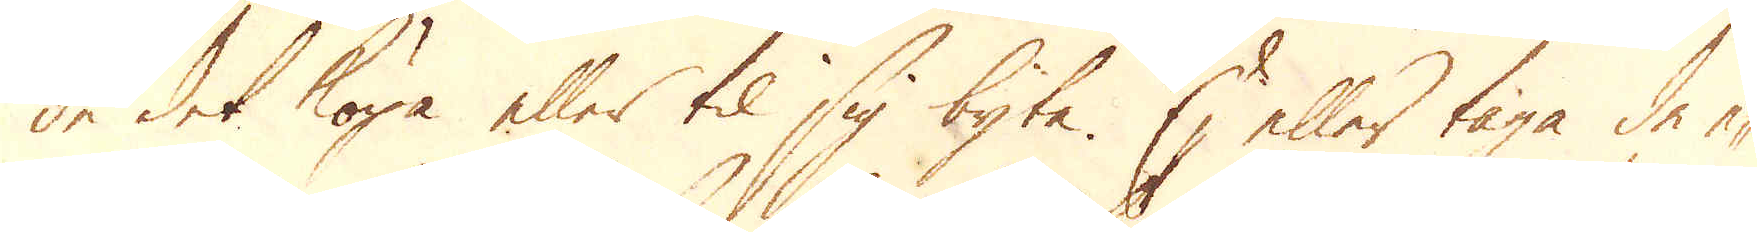de det köpa eller til sig byta. Ej eller taga de e-
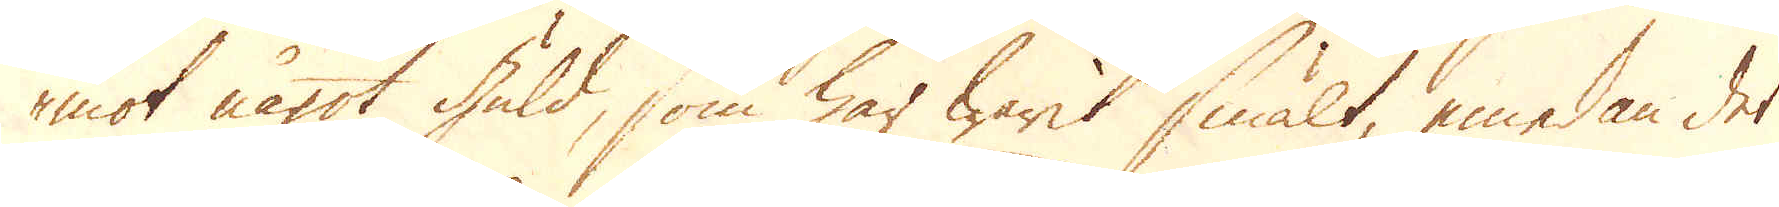mot något Guld, som har warit smält, emedan det
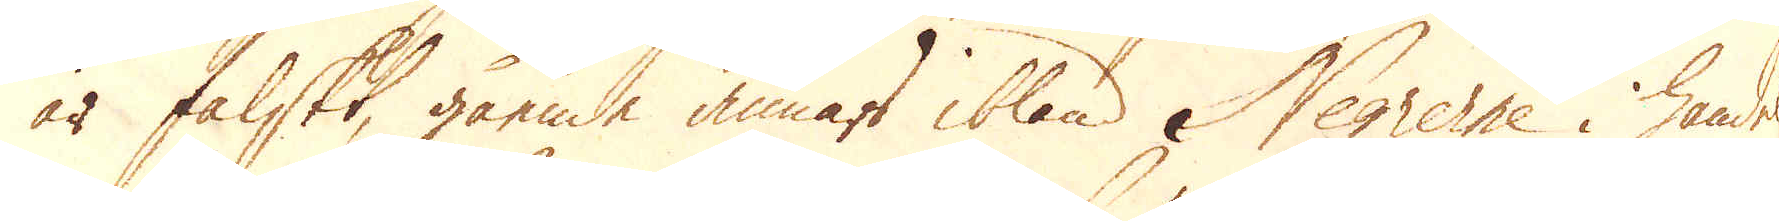är falskt, gående annars ibland Negrerne i handel
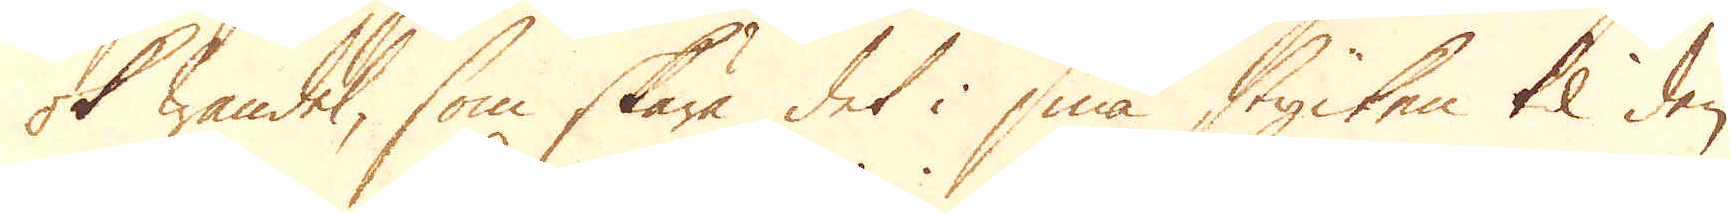ok wandel, som skära det i små stycken til den
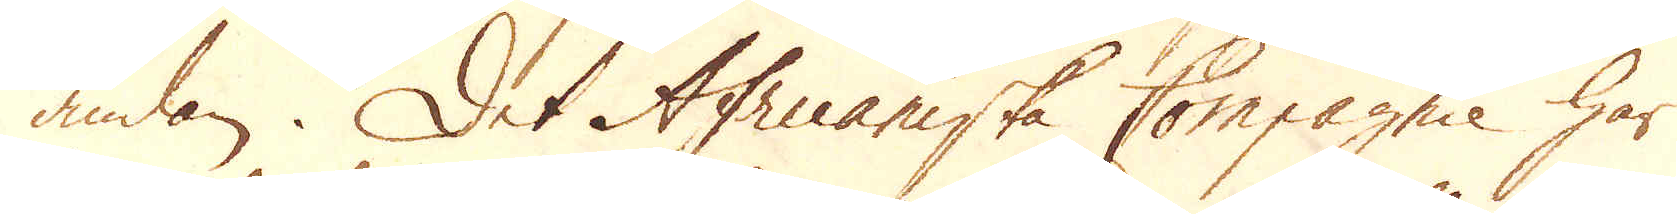ändan. Det Africaniska Compagnie har
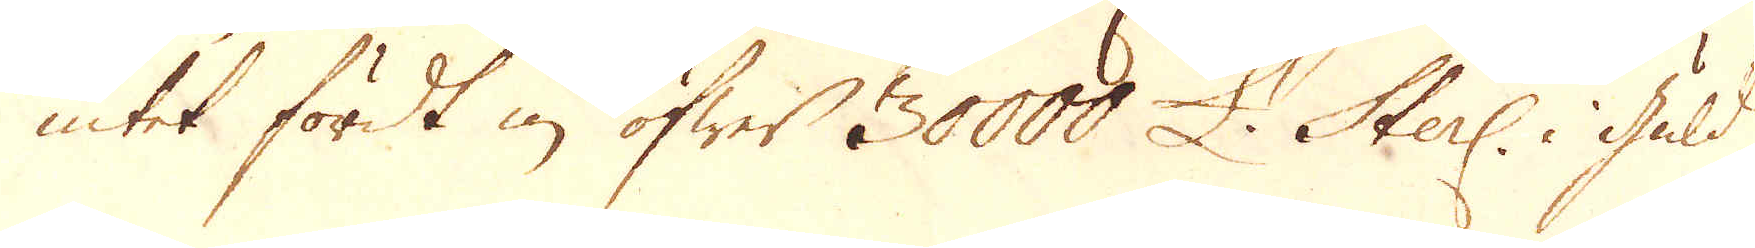intet fördt in öfwer 30000 £. Sterl: i Guld
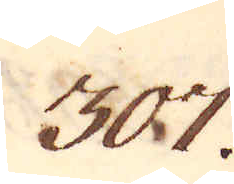307.
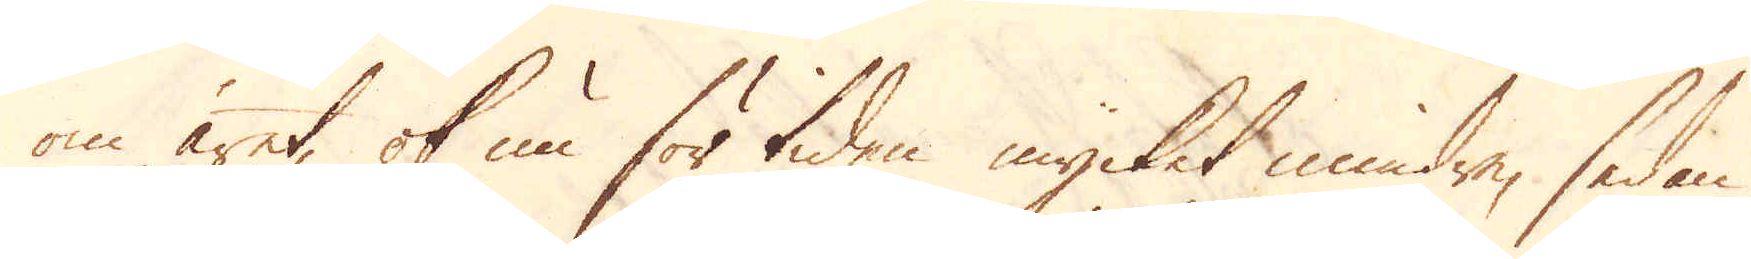om året, ok nu för tiden mycket mindre, sedan
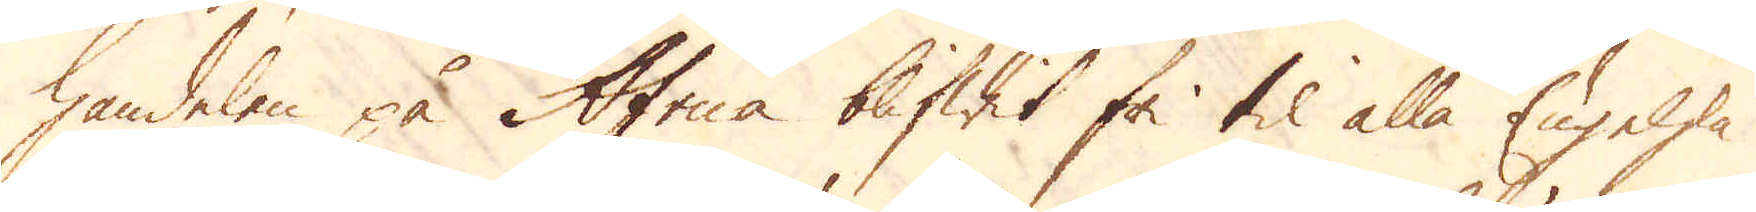handelen på Africa blifwit fri til alla Engelska
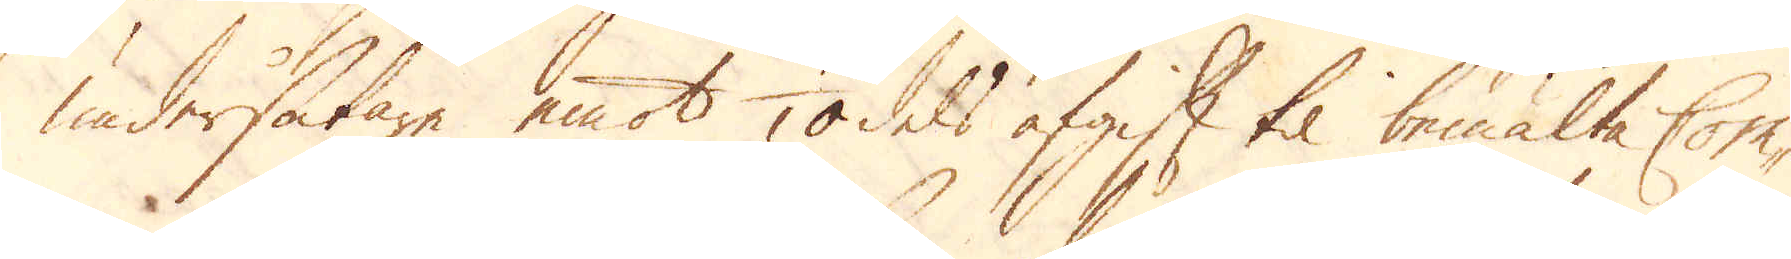undersåtare emot 1/10 dels afgift til bemälte Com-
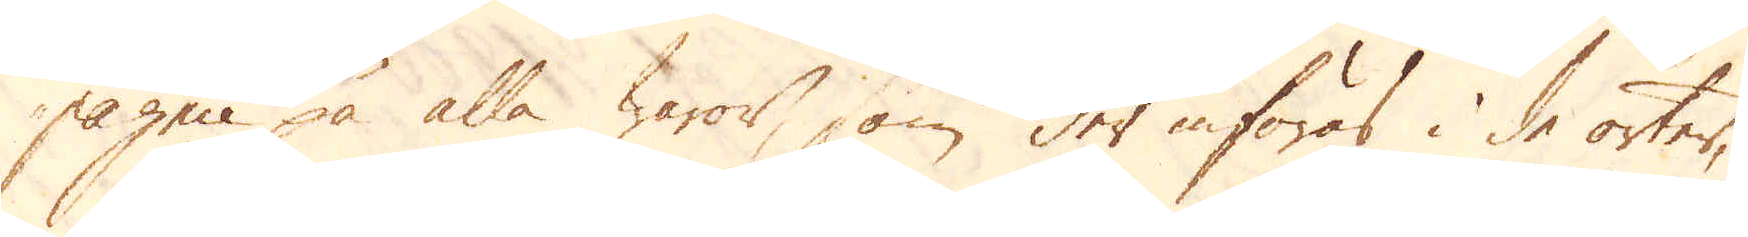pagnie på alla waror, som der införas i de orter,
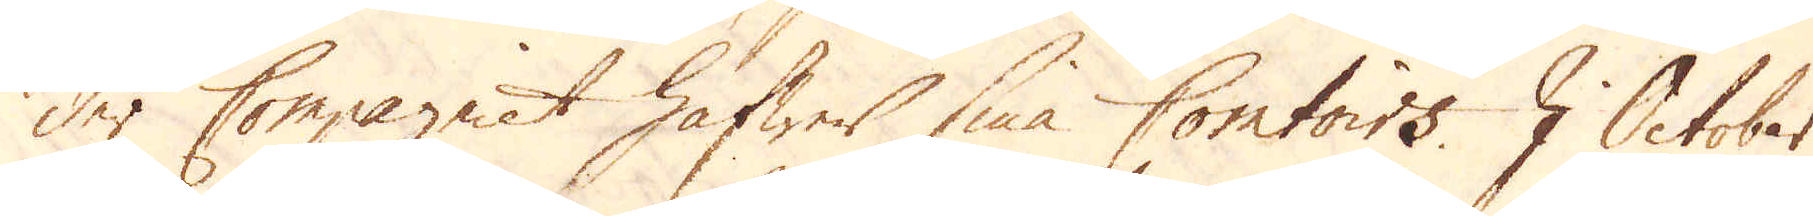der Compagniet hafwer sina Comtoirs. I October
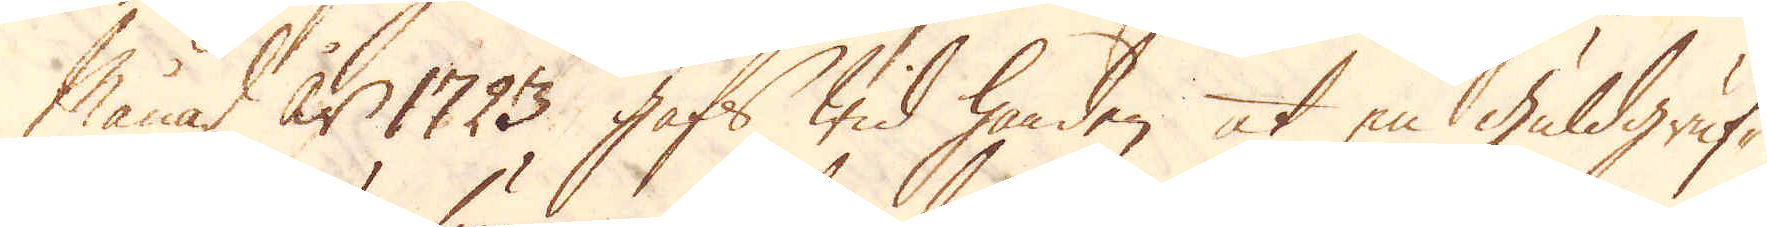månad år 1723, gafs wid handen at en guldgruf-
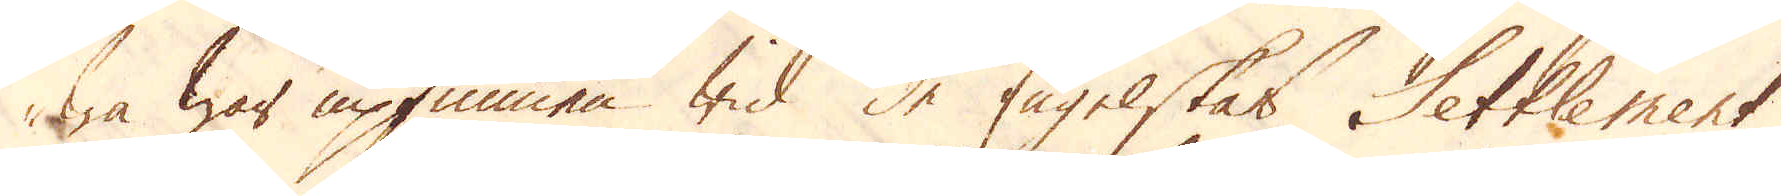wa war upfunnen wid de Engelskas Settlement
